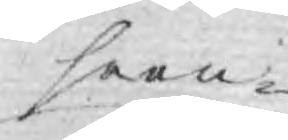seen¬
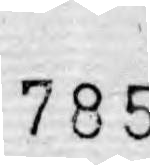785
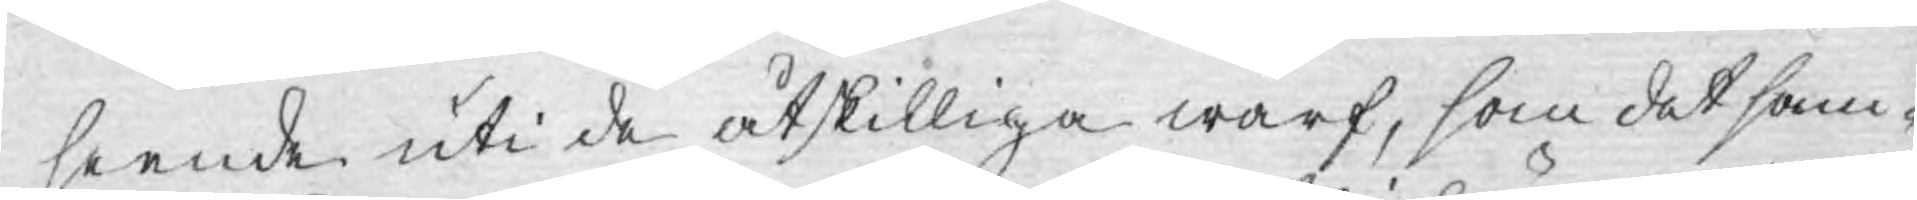seende uti de åtskilliga wärf, som det sam¬
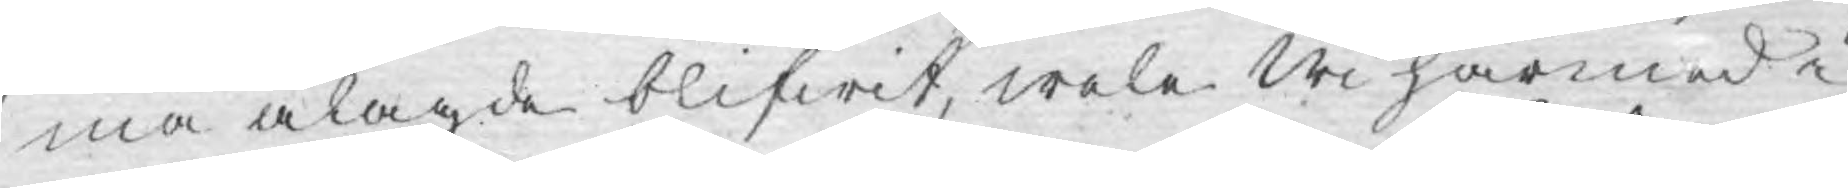ma ålagde blifwit, wele Wi härmed i
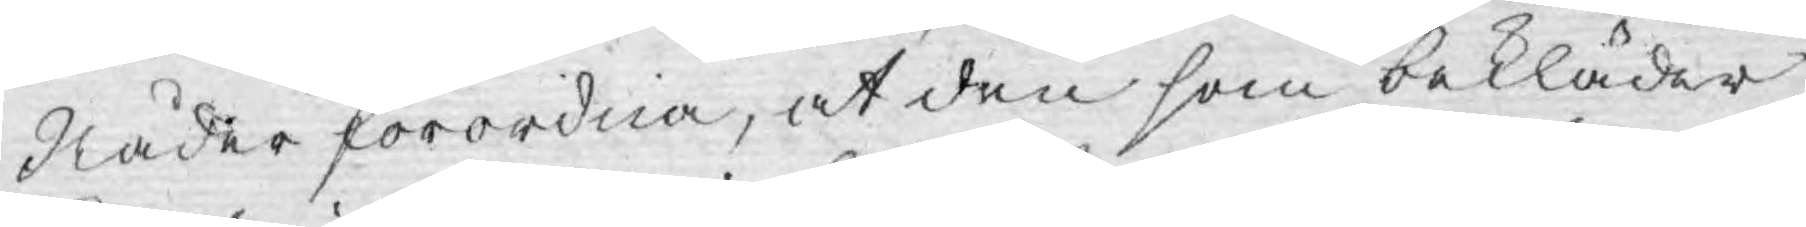Nåder förordna, at den som bekläder
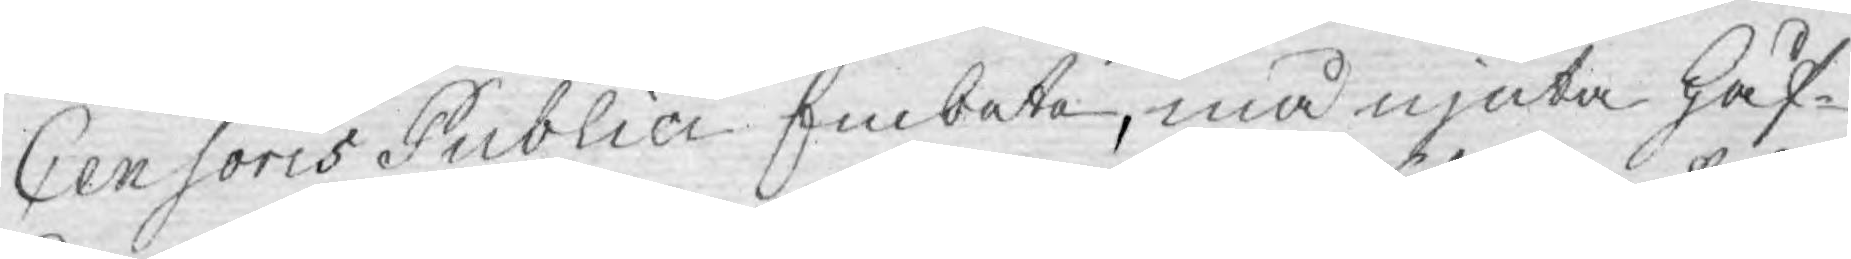Censoris Publici Embete, må njuta Håf¬
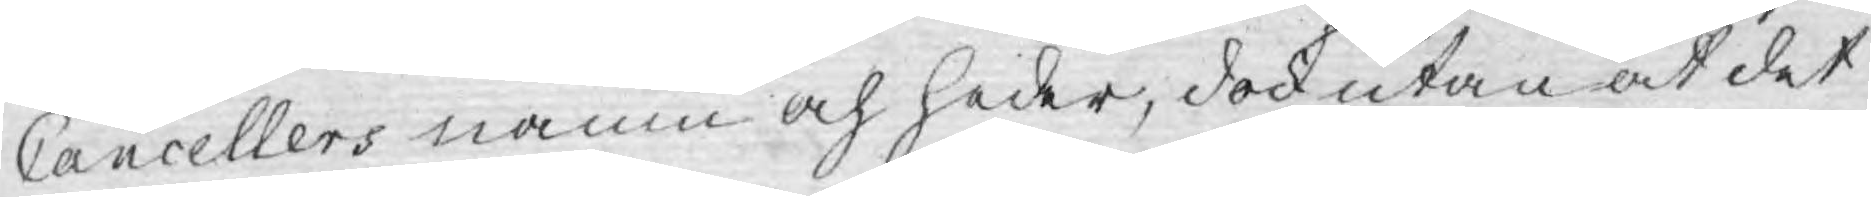Cancellers namn och heder, dock utan at det
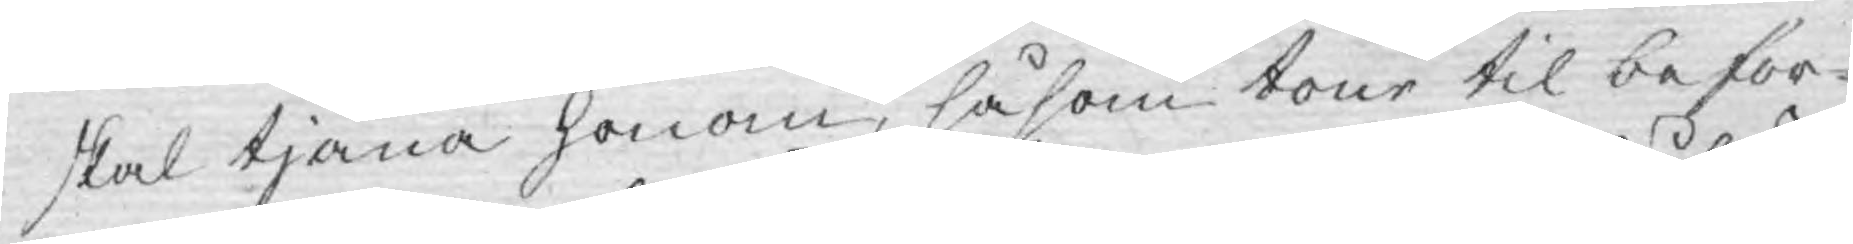skal tjäna honom, såsom tour til befor¬
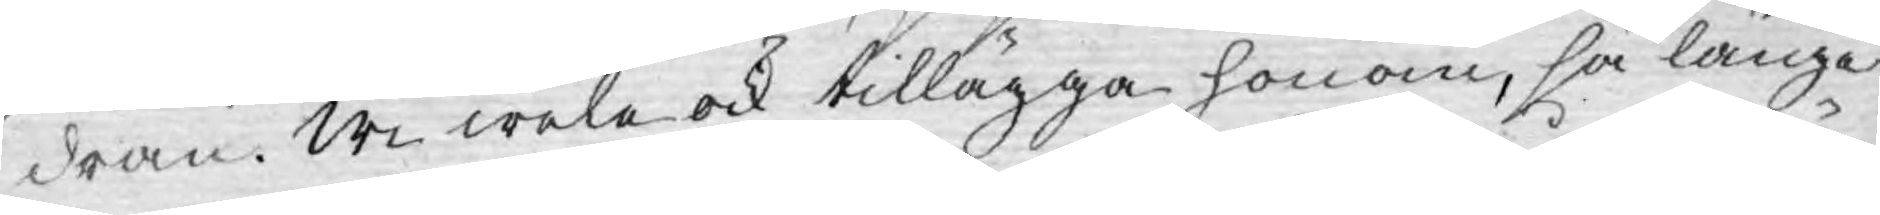dran. Wi wele ock tillägga honom, så länge
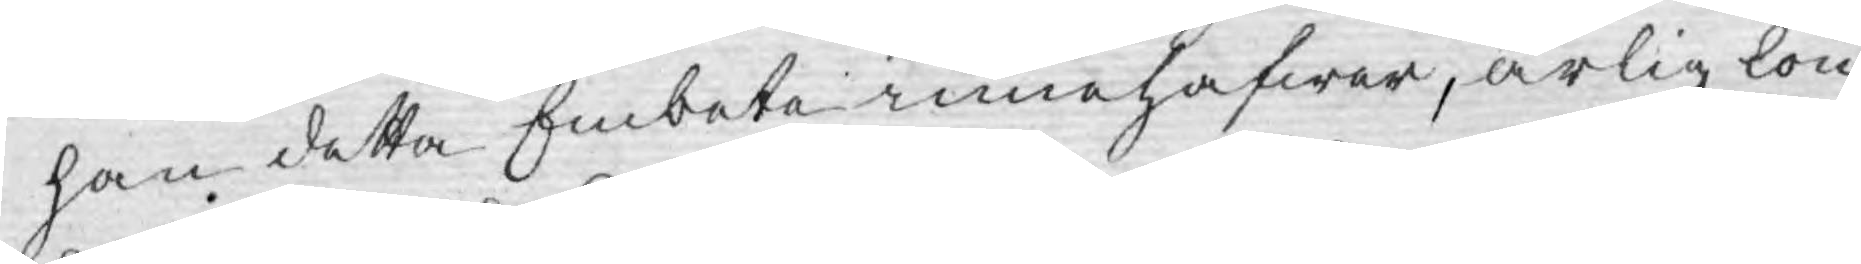han detta Embete innehafwer, årlig lön
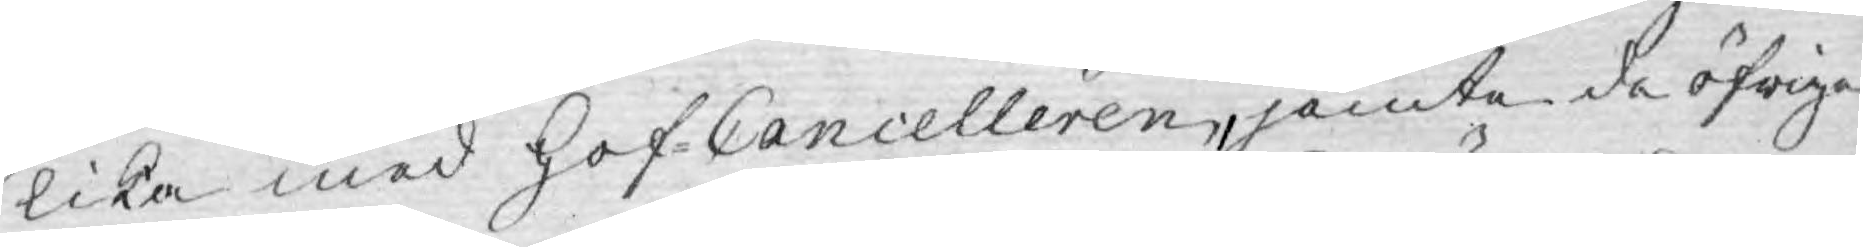lika med Hof-Cancelleren, jemte de öfriga
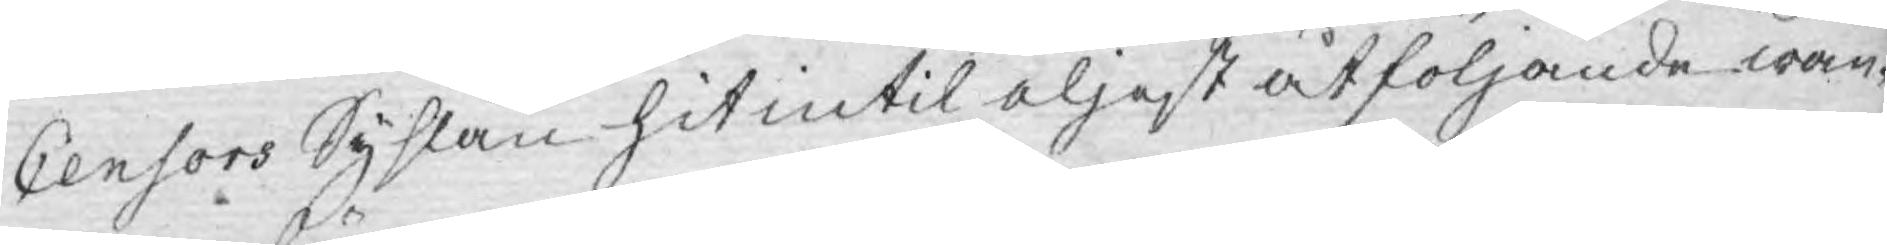Censors Syslan hit intil eljest åtföljande wan¬
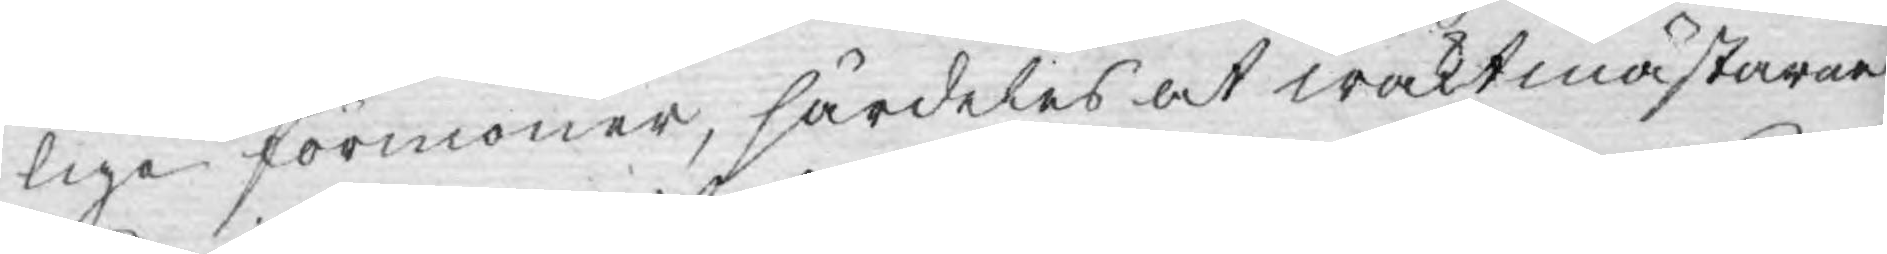lige förmoner, särdeles at waktmästarne
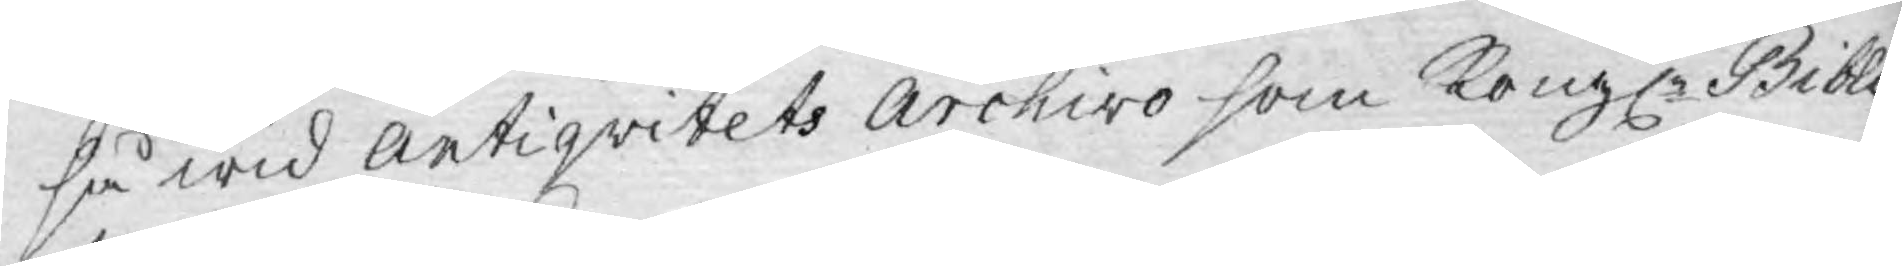så wid Antiqvitets Archivo som Kongl: Biblio¬
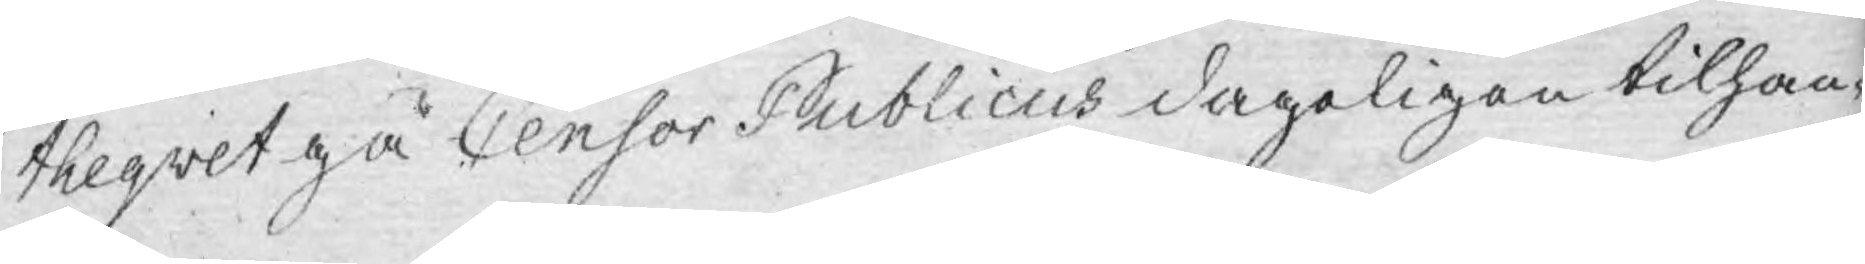theqvet gå Censor Publicus dageligen tilhan¬
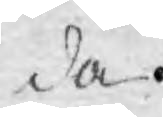da.
